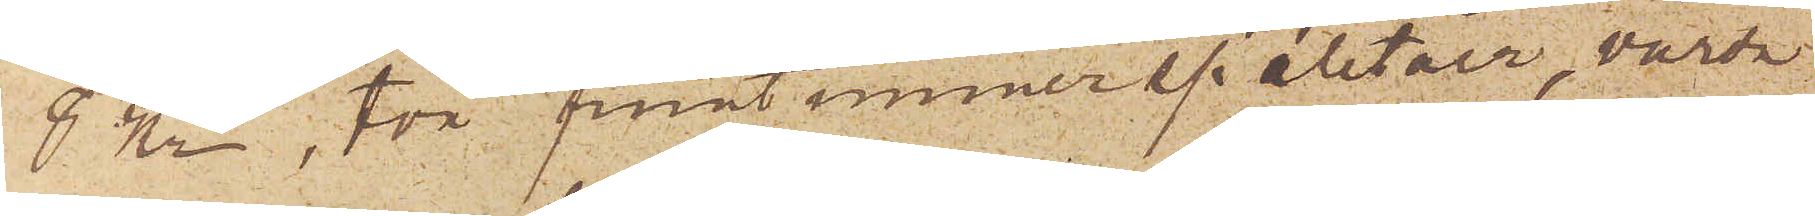8 Kr, två fruntimmerspaletåer, värda
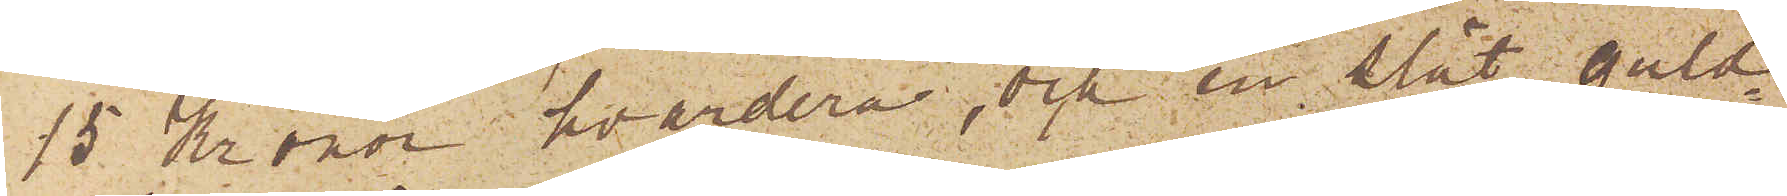15 Kronor hvardera, och en slät guld¬
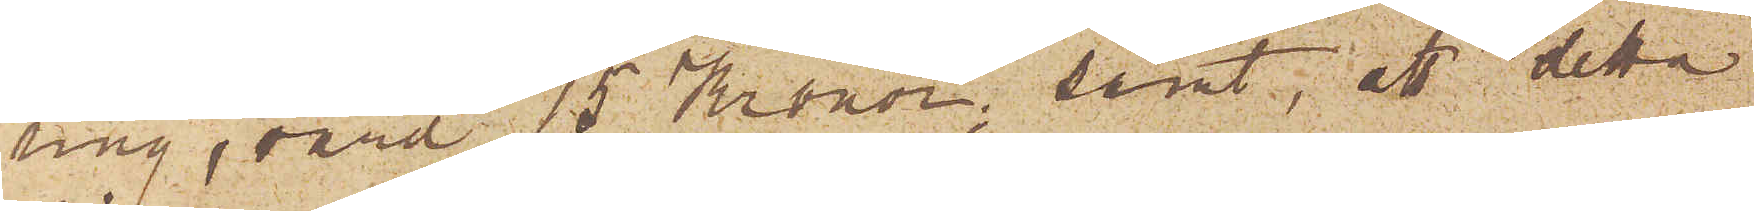ring, värd 15 Kronor; samt att detta
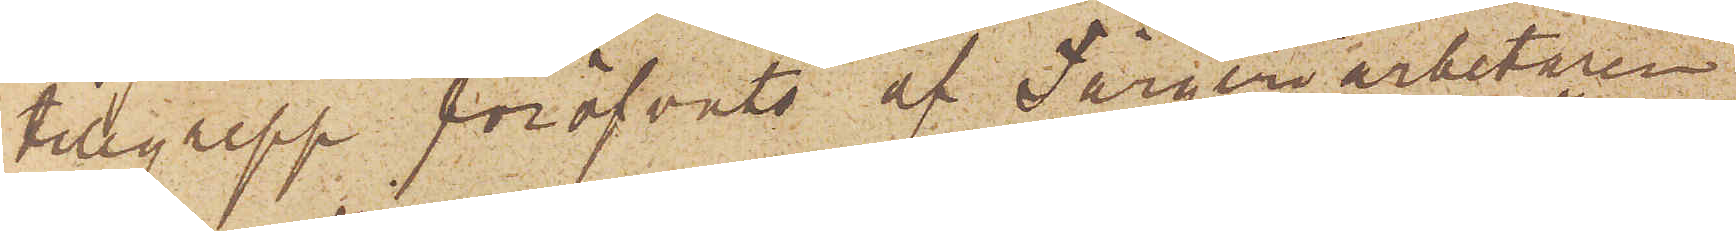tillgrepp föröfvats af Färgeriarbetaren
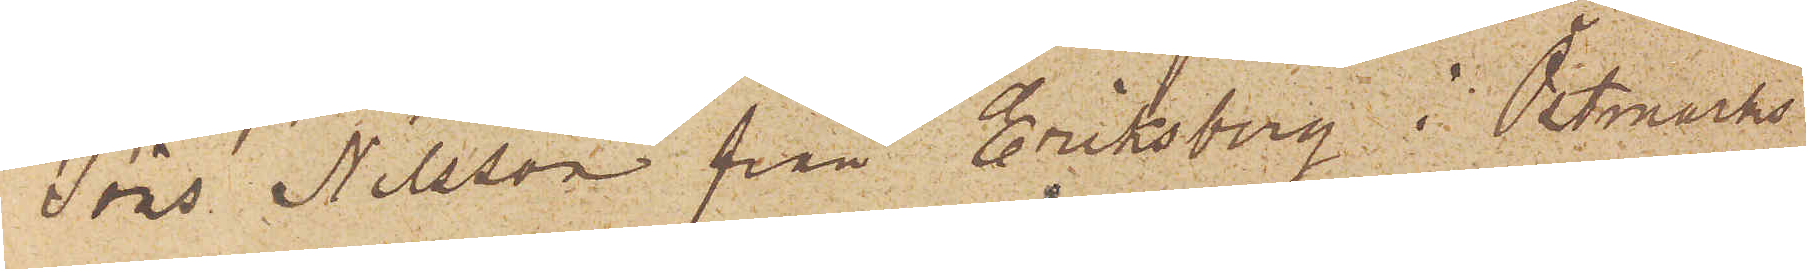Jöns Nilsson från Eriksberg i Östmarks
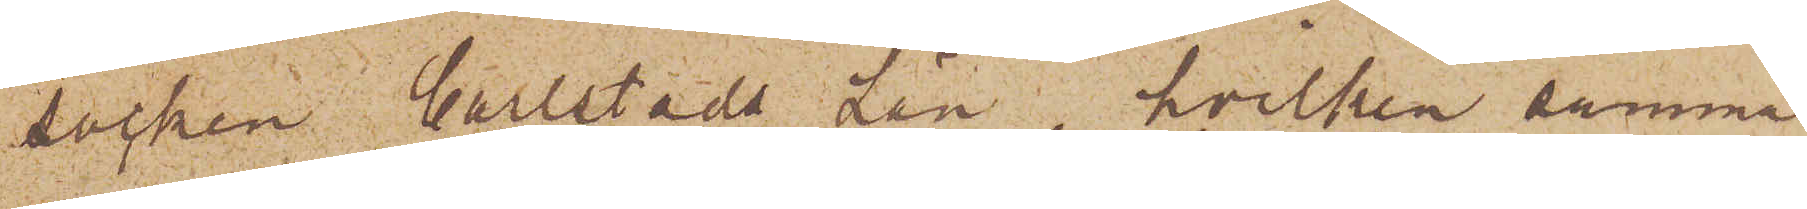socken Carlstads Län, hvilken samma
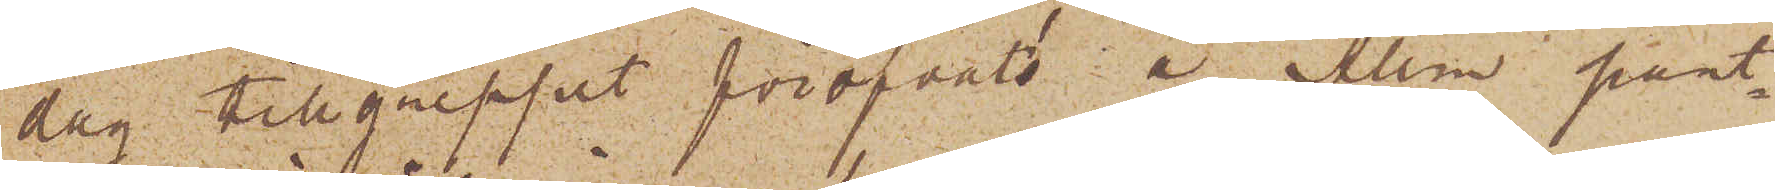dag tillgreppet föröfvats å Allm pant¬
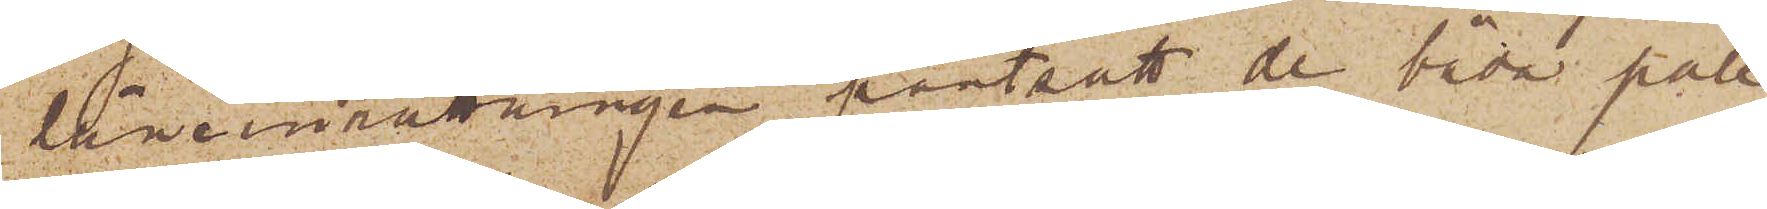låneinrättningen pantsatt de båda pale¬
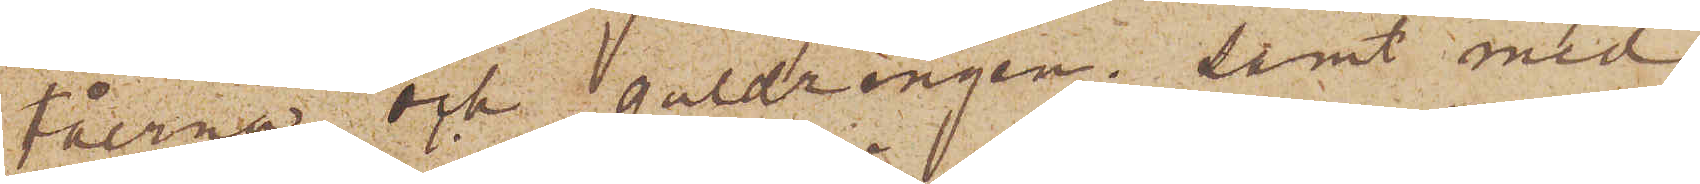tåerna och guldringen; samt med
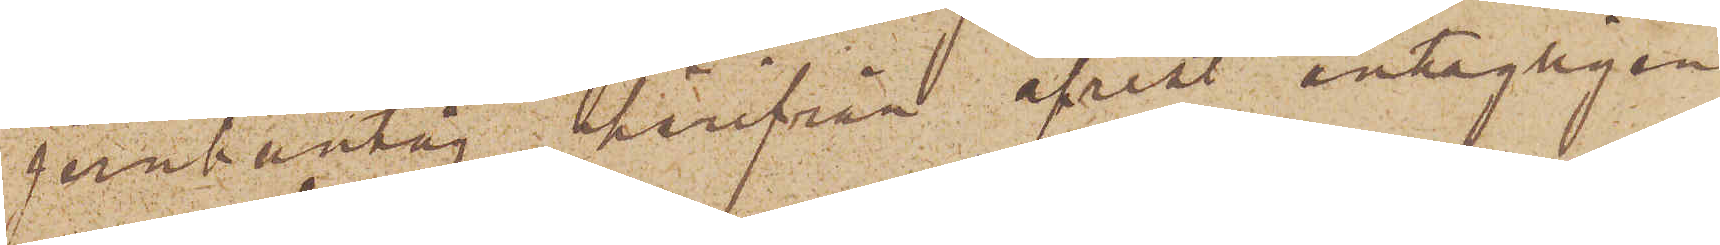jernbantåg härifrån afrest antagligen
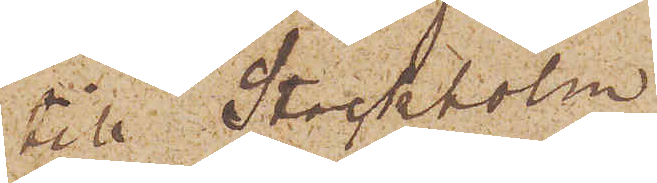till Stockholm
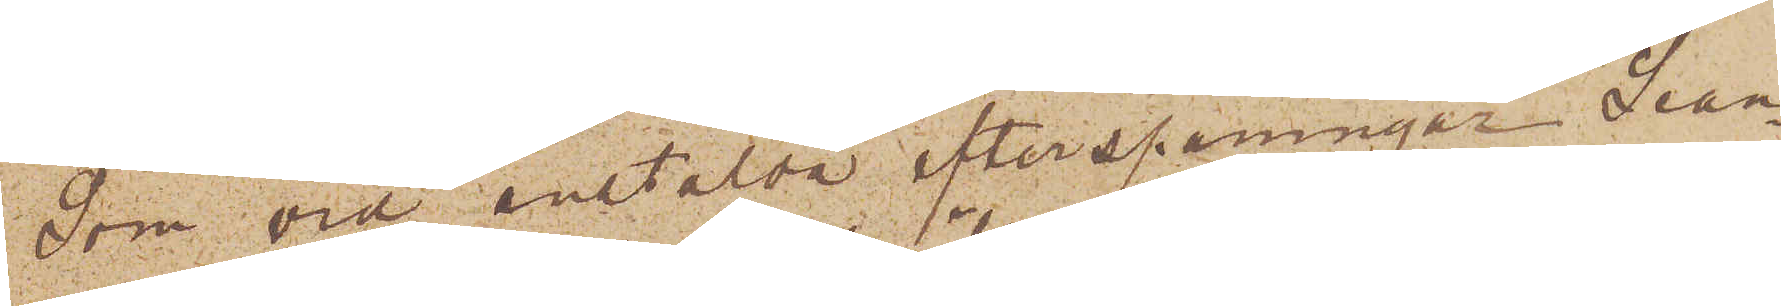Som vid anstälda efterspaningar Sean¬
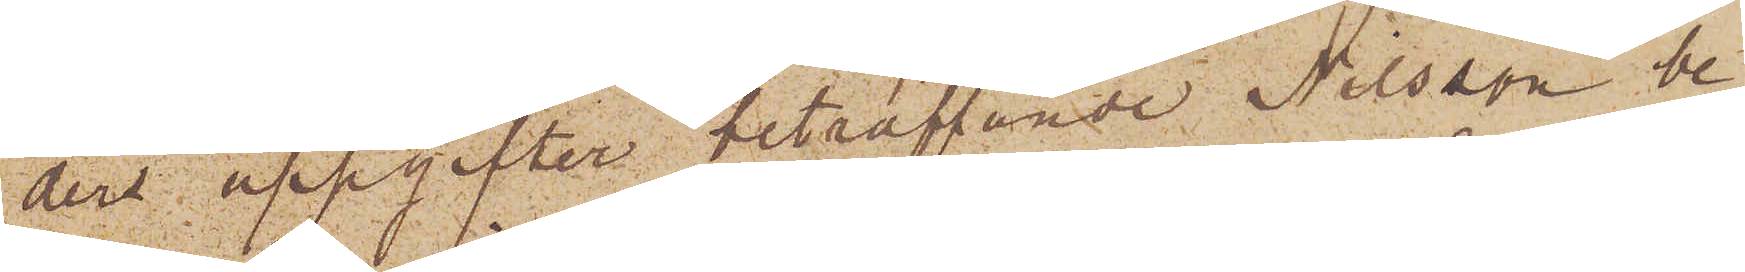ders uppgifter beträffande Nilsson be¬
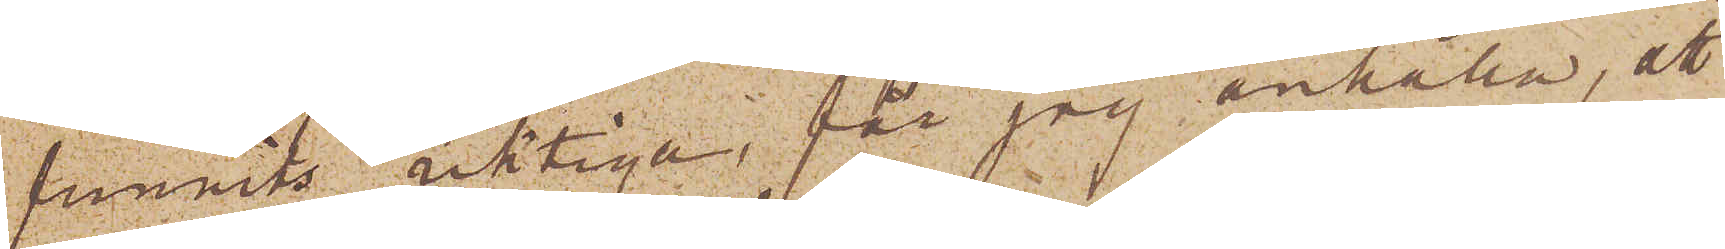funnits riktiga, får jag anhålla, att
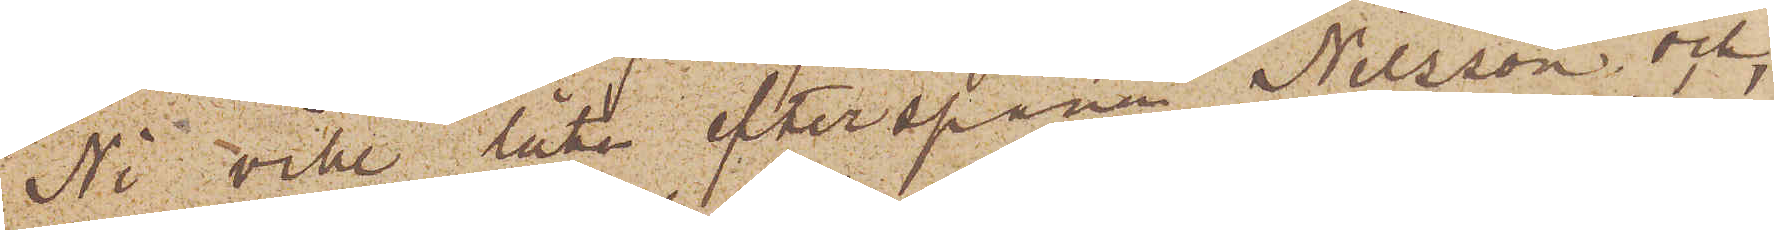Ni vill låta efterspana Nilsson och
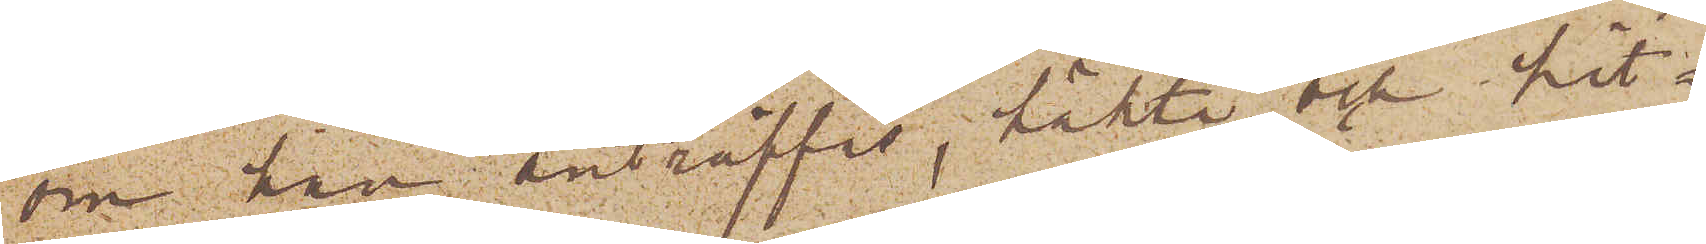om han anträffas, häkta och hit¬
